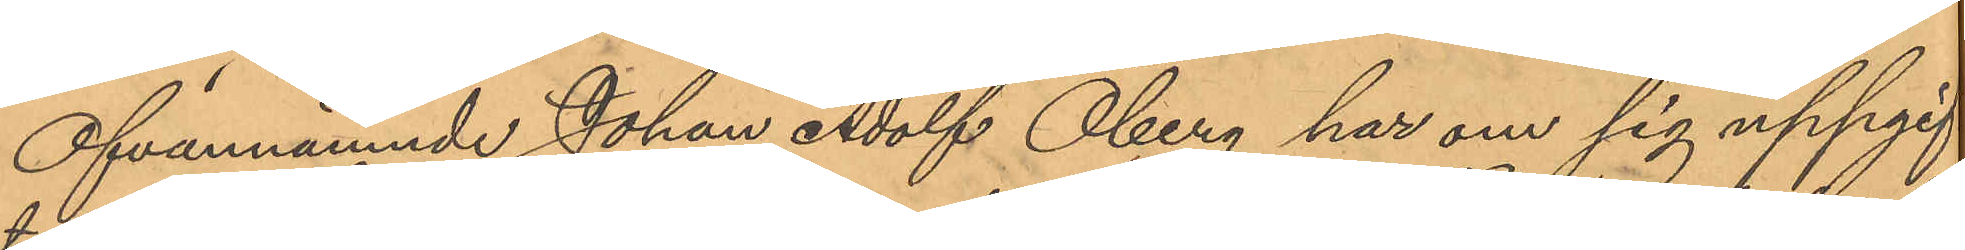Ofvannämnde Johan Adolf Öberg har om sig uppgif¬
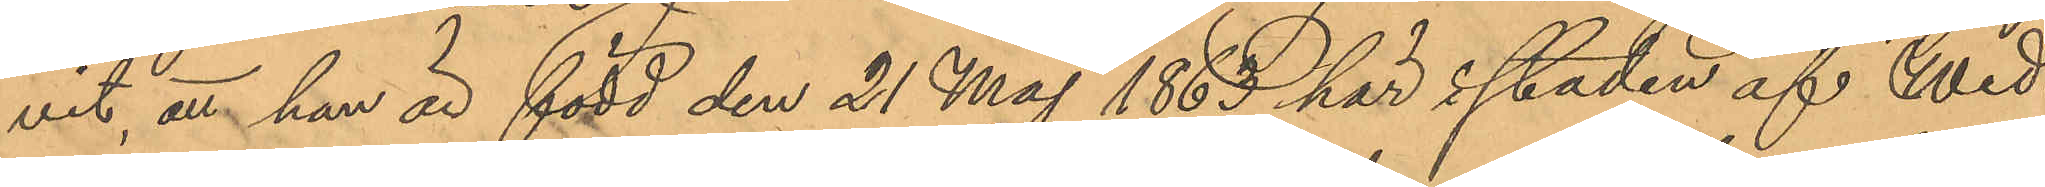vit att han är född den 21 Maj 1863 här i staden af Wed¬
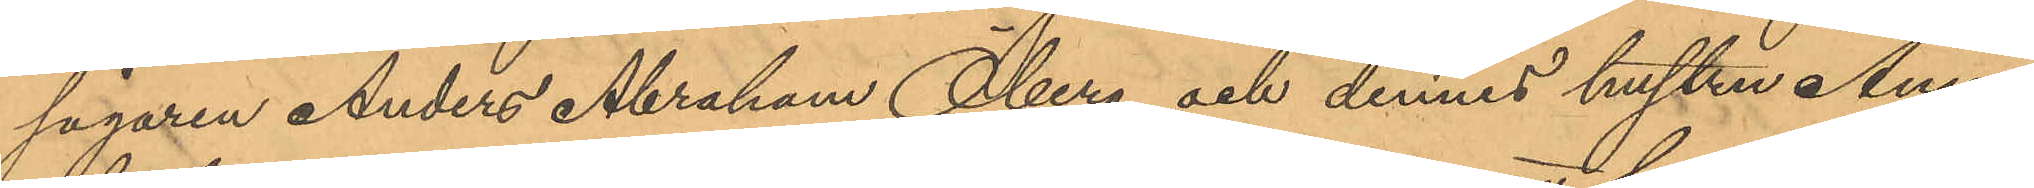sågaren Anders Abraham Öberg och dennes hustru Anna
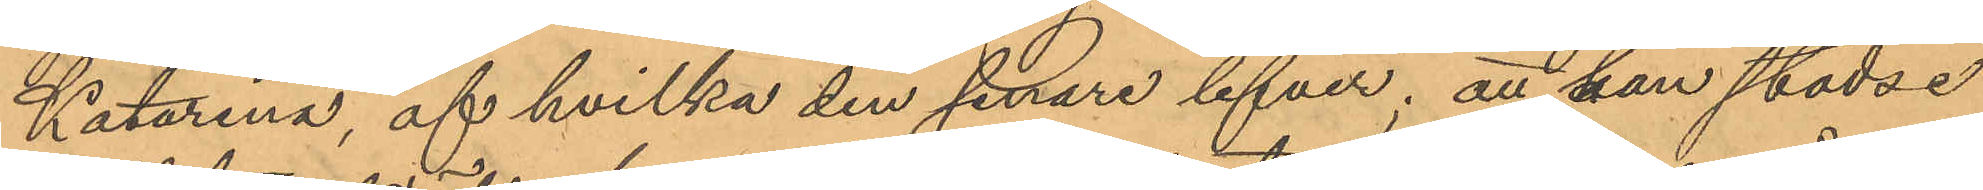Katarina, af hvilka den senare lefver; att han städse
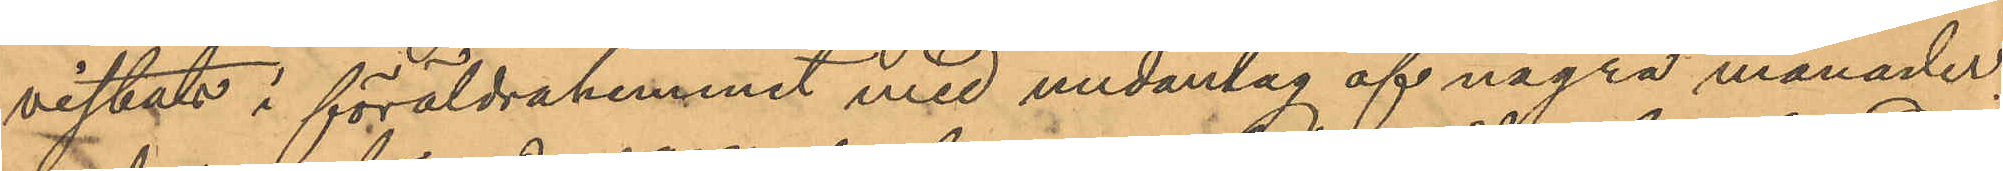vistats i föräldrahemmet med undantag af några månader,
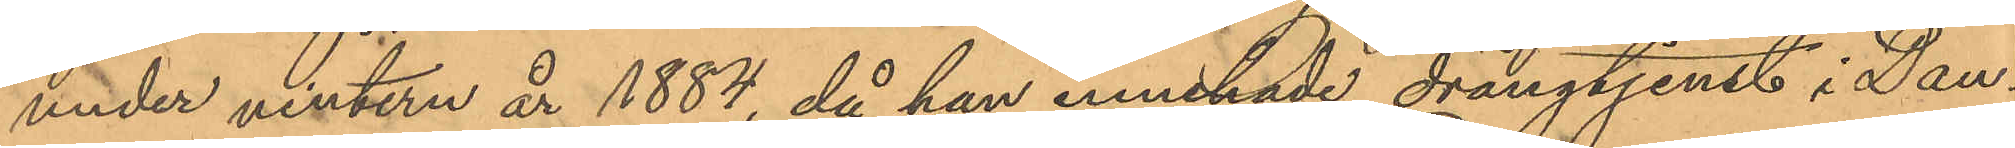under vintern år 1884, då han innehade drängtjenst i Dan¬
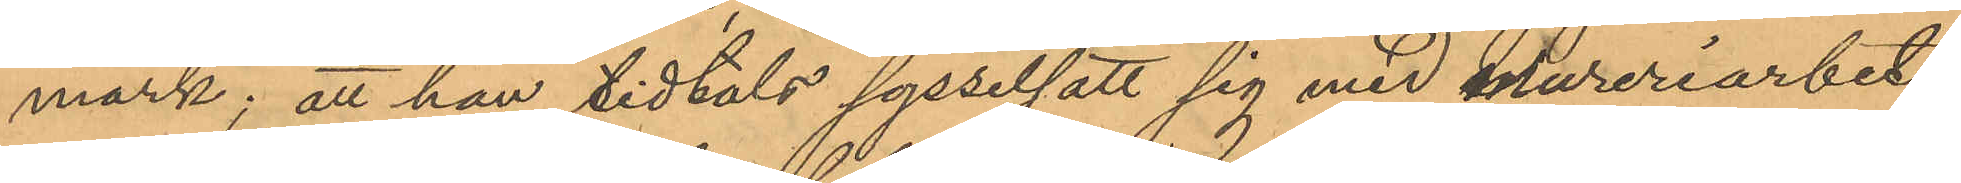mark, att han tidtals sysselsatt sig med mureriarbete,
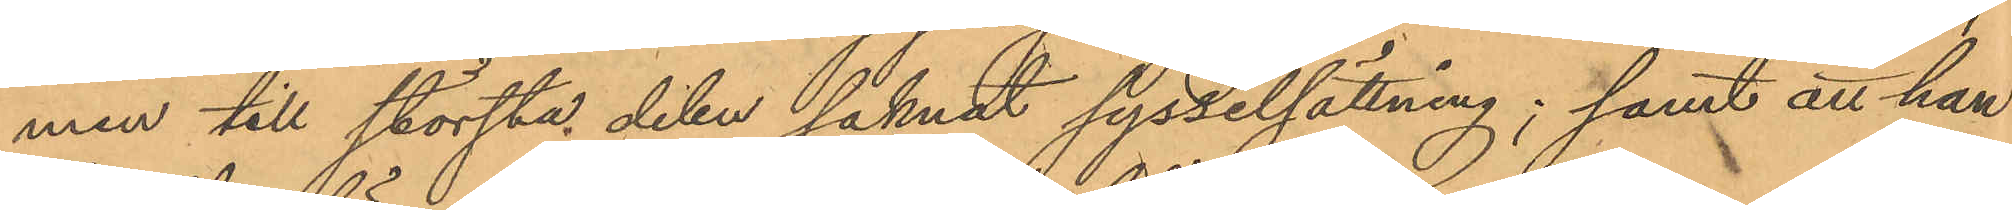men till största delen saknat sysselsättning; samt att han
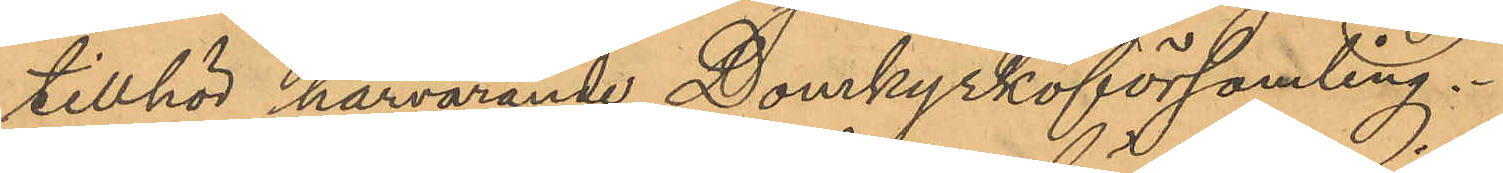tillhör härvarande Domkyrkoförsamling.
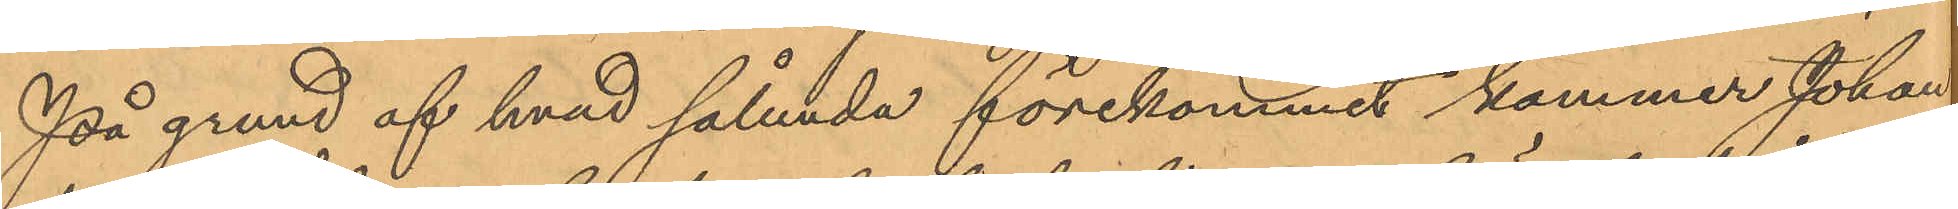På grund af hvad sålunda förekommit kommer Johan
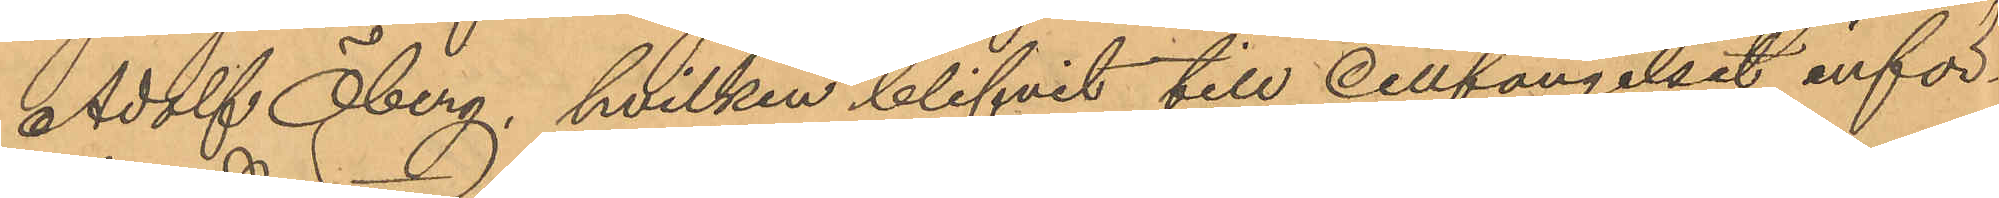Adolf Öberg, hvilken blifvit till Cellfängelset inför¬
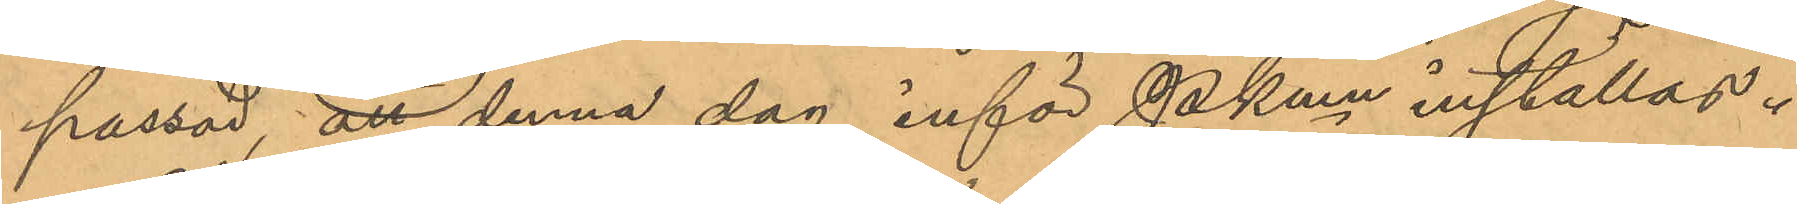passad, att denna dag inför Pkmn inställas.
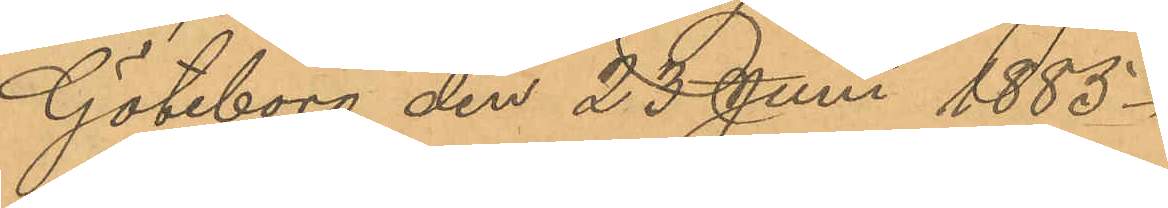Göteborg den 25 Juni 1885.
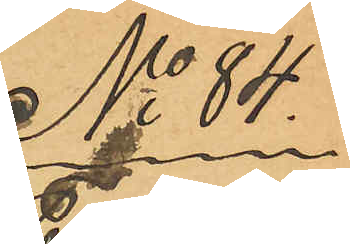No 84.
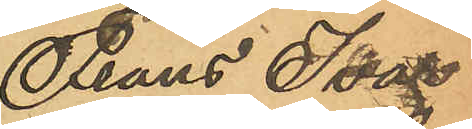Frans Ivar
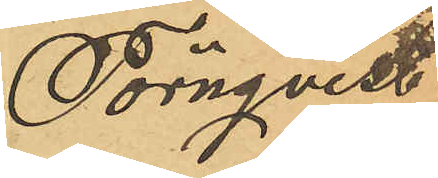Törnqvist
